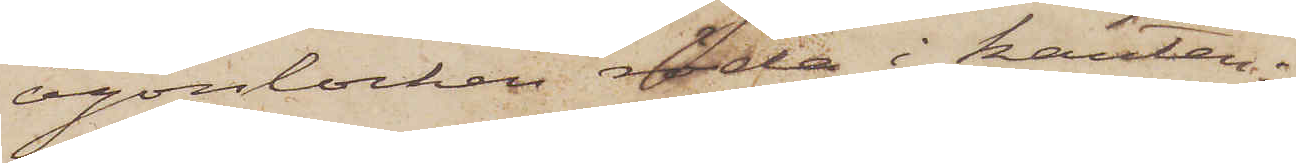ögonlocken röda i kanten;
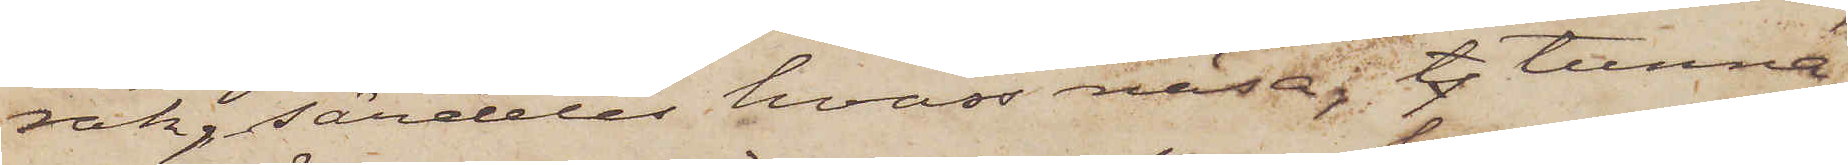rak, särdeles hvass näsa; t tunna
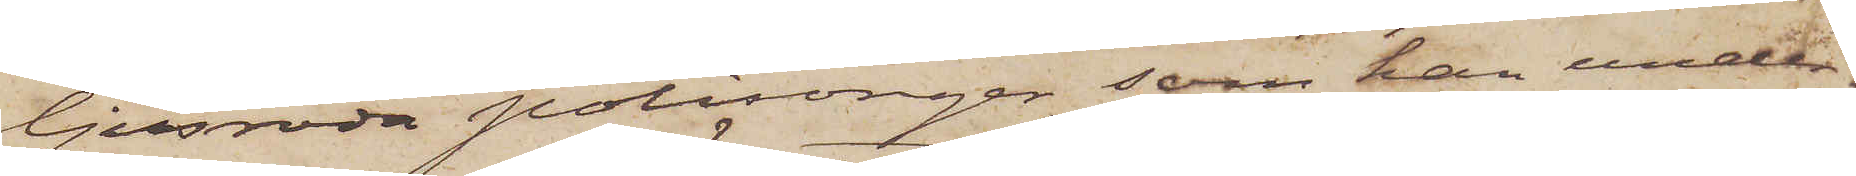ljusröda polisonger, som han under¬
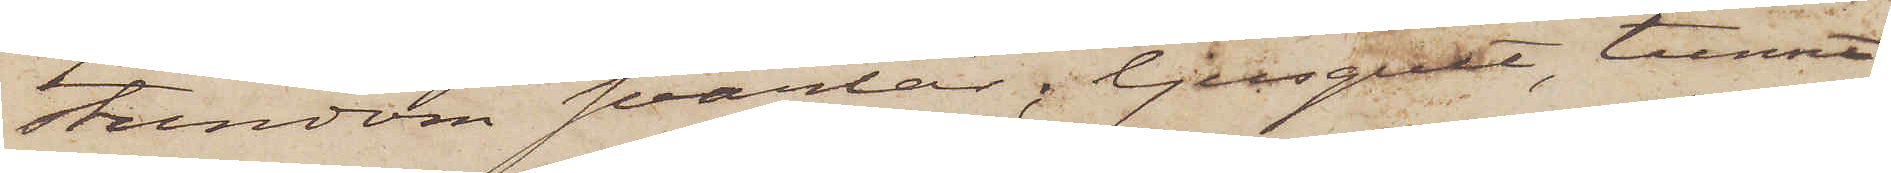stundom svärtar, ljusgult, tunnt
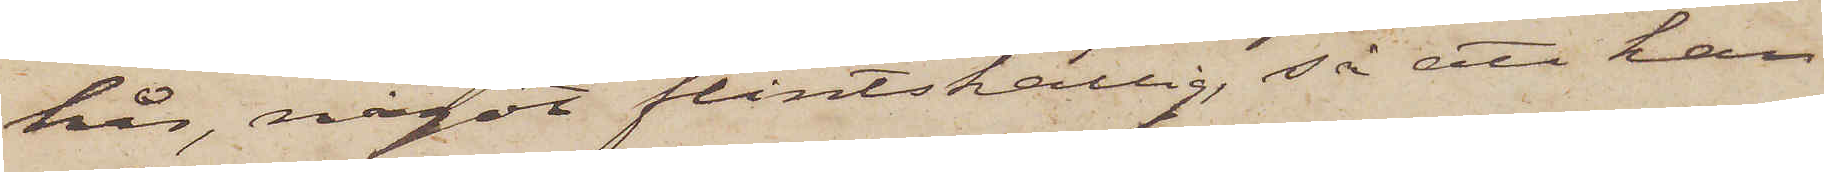hår, något flintskallig, så att han
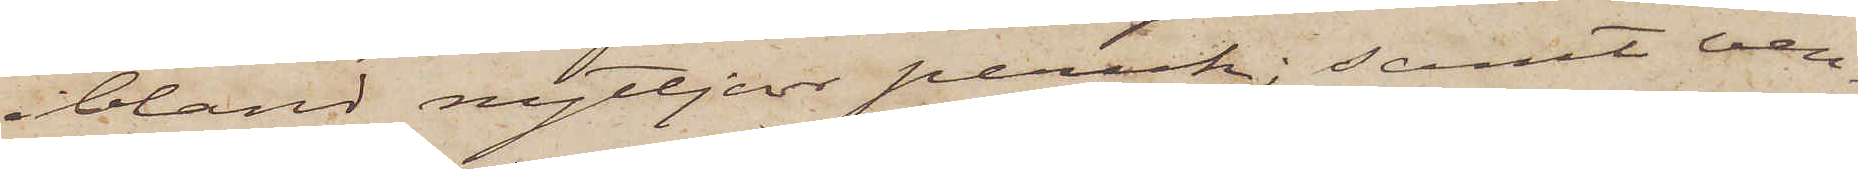ibland nyttjar peruk; samt ven¬
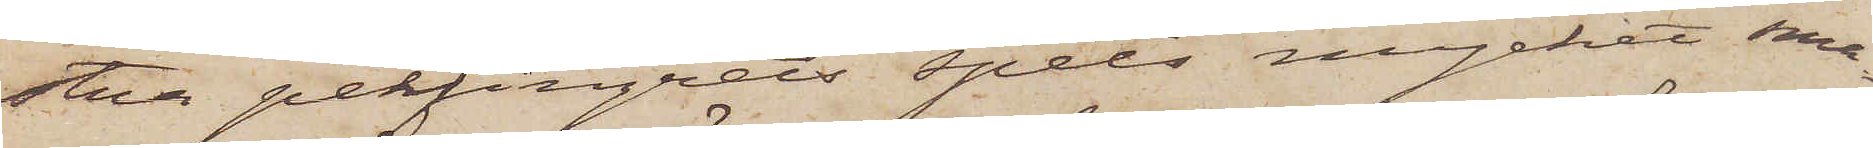stra pekfingrets spets mycket sma¬
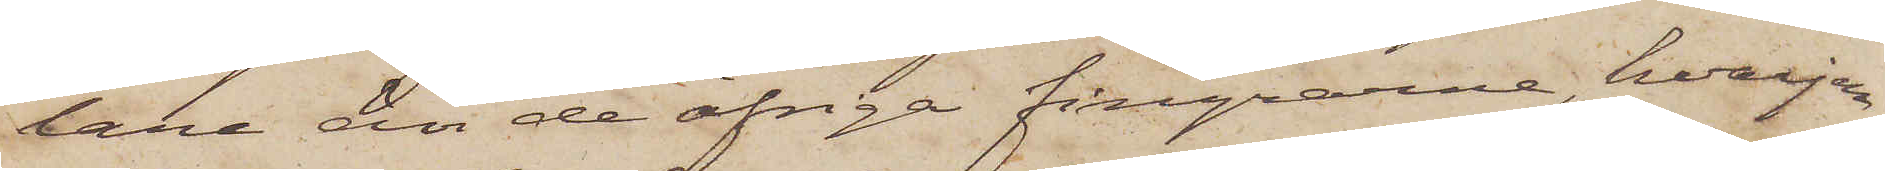lare än de öfriga fingrarne, hvarjem¬
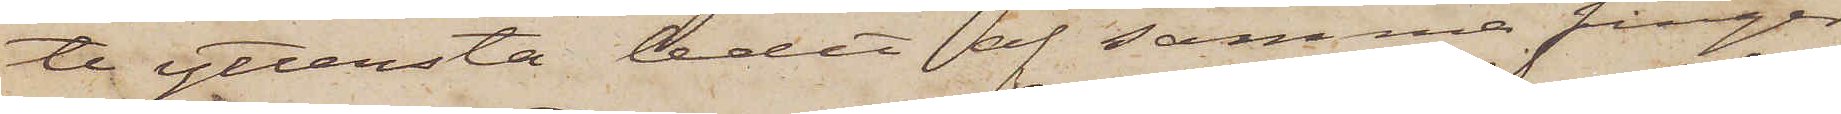te yttersta ledet af samma finger
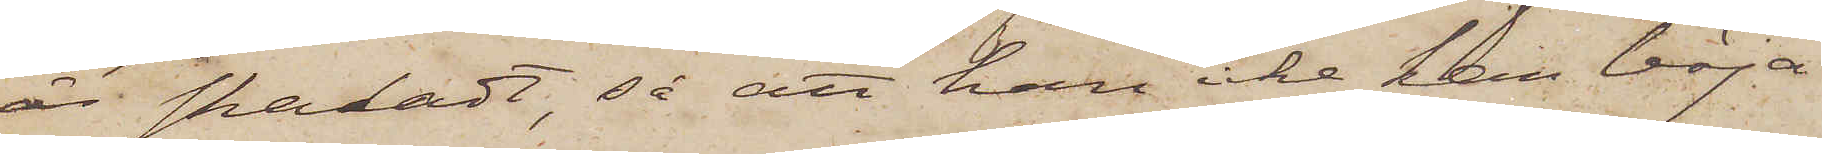är skadadt, så att han icke kan böja
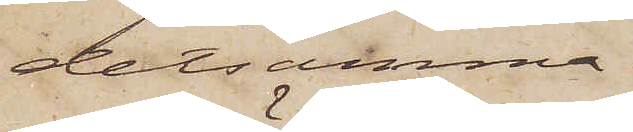detsamma.
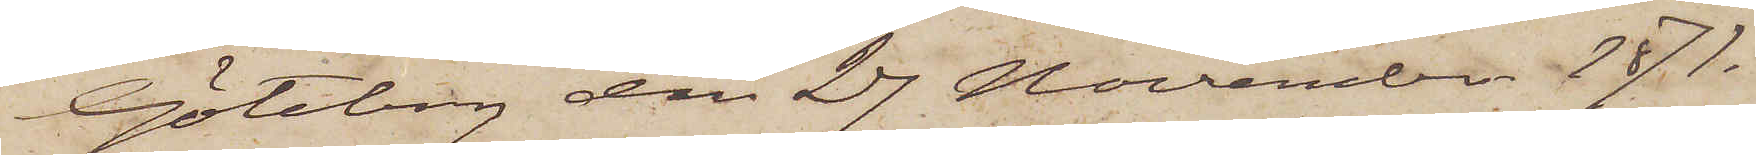Göteborg den 27 November 1871.
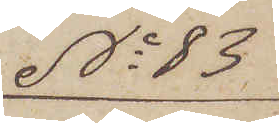No 83
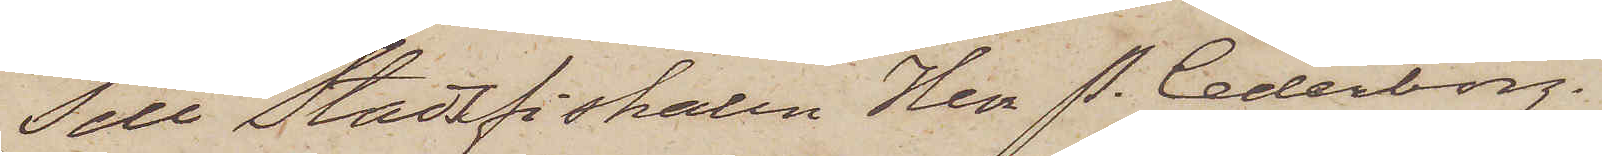Till Stadsfiskalen Herr P. Cederborg.
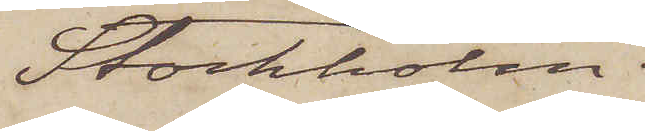Stockholm.
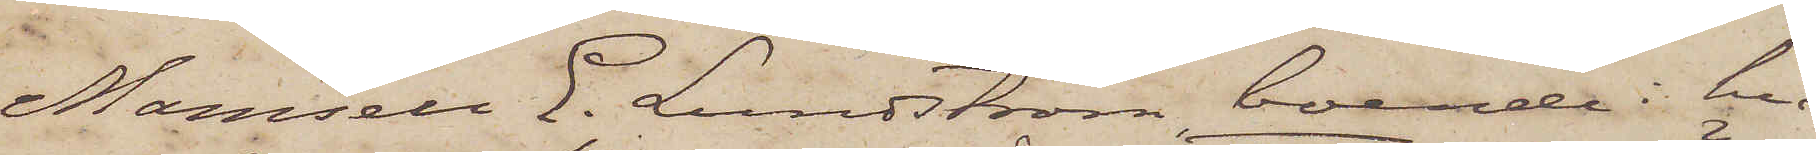Mamsell E. Lundström, boende i hu¬
